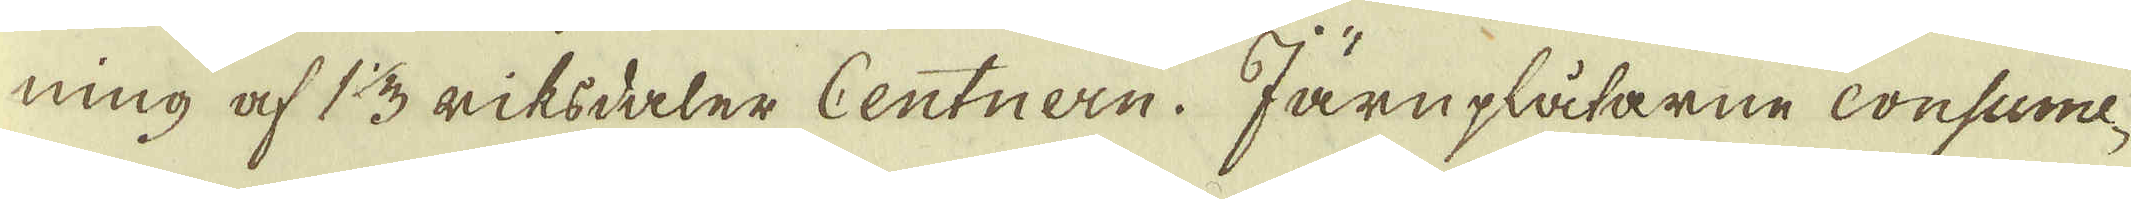ning af 1 1/3 riksdaler Centnern. Järuplåtarne consume-
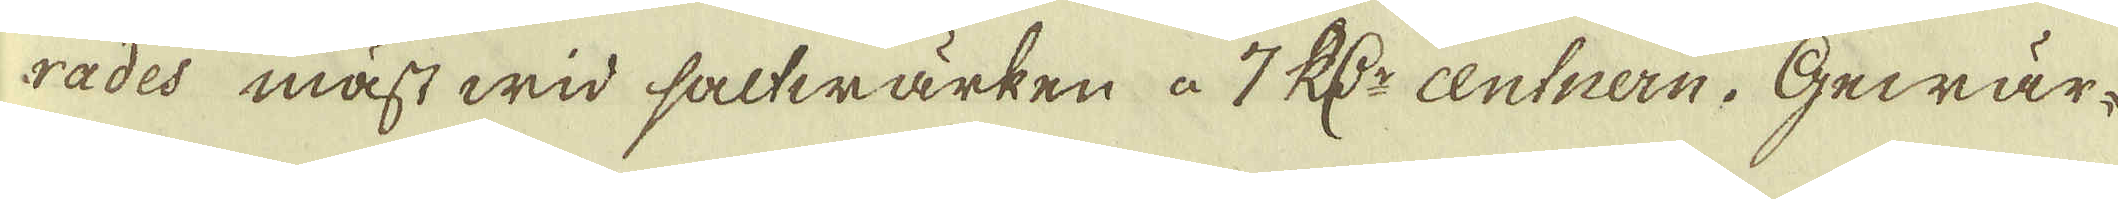rades mäst wid saltwärken à 7 R:dr centnern. Gewär-
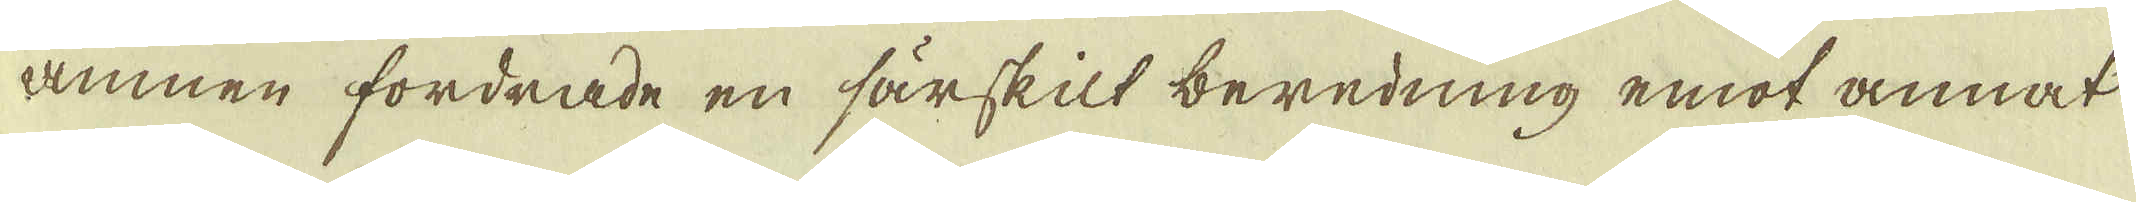amnen fordrade en särskilt beredning emot annat
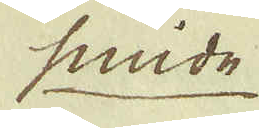snide
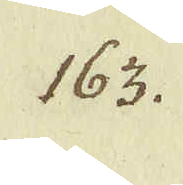163.
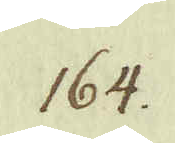164.
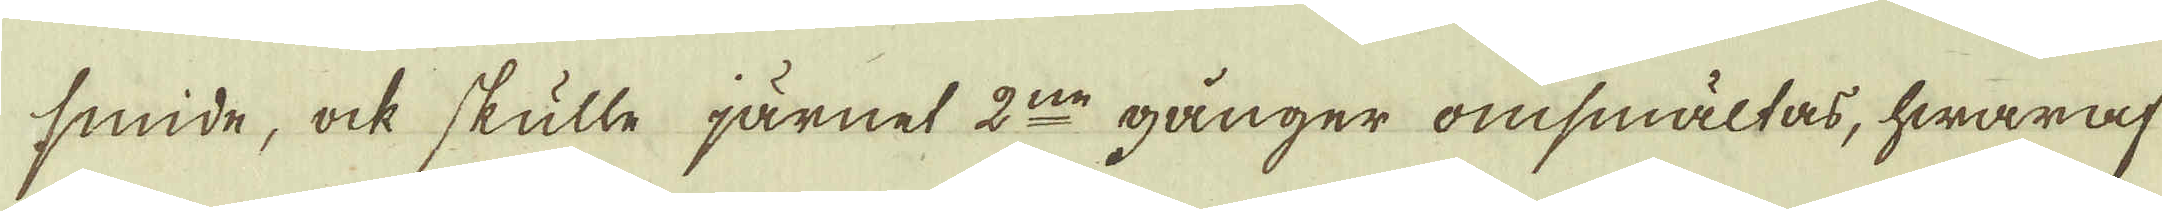smide, ock skulle järnet 2:ne gånger omsmältas, hwaraf
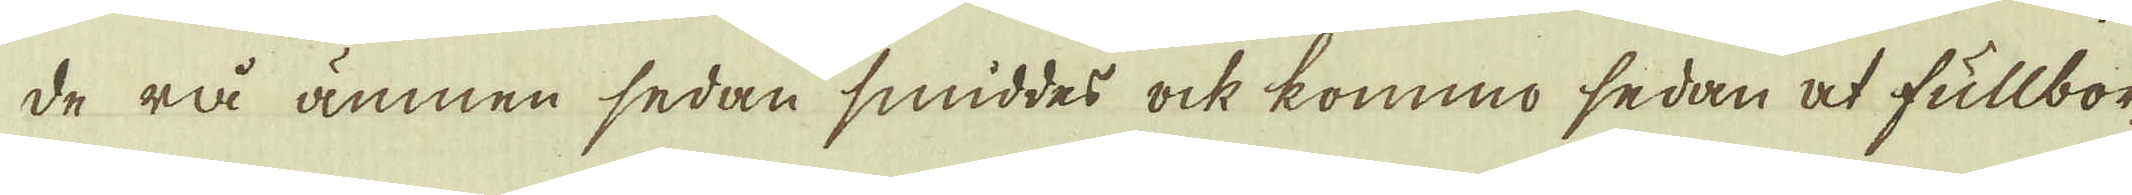de rå ämnen sedan smiddes ock kommo sedan at fullbor-
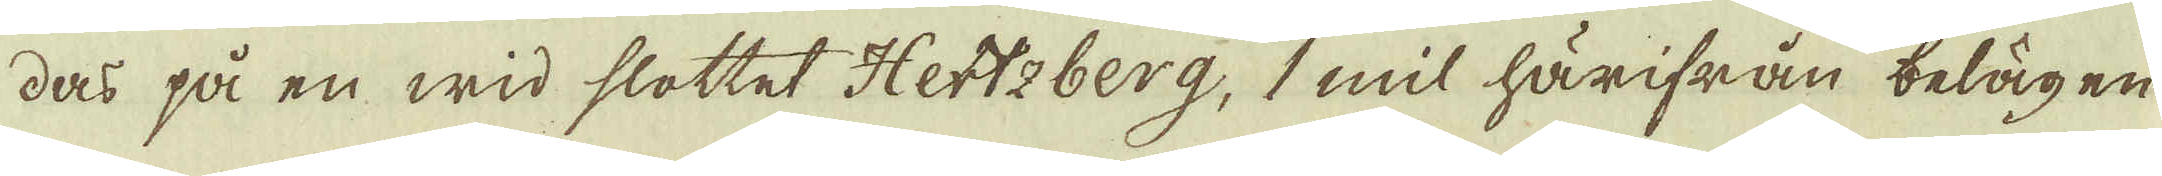das på en wid slottet Hettzberg, 1 mil härifrån belägen
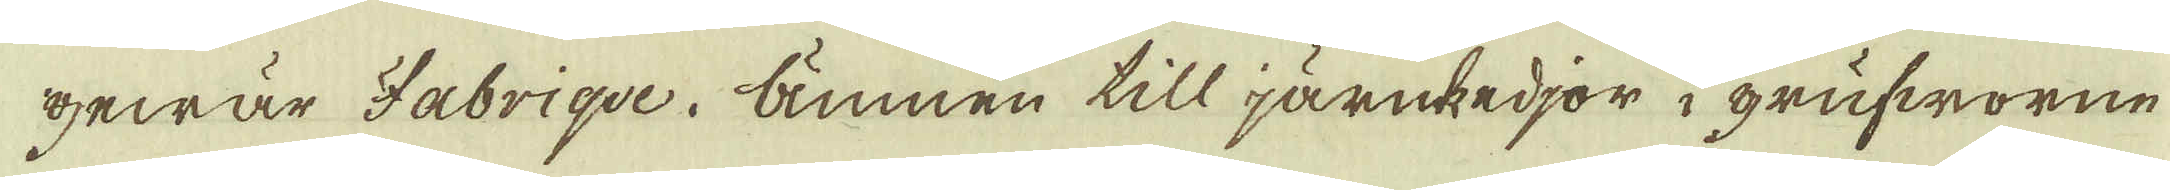gewär Fabriqve. Ämnen till järnkedjor i grufworne
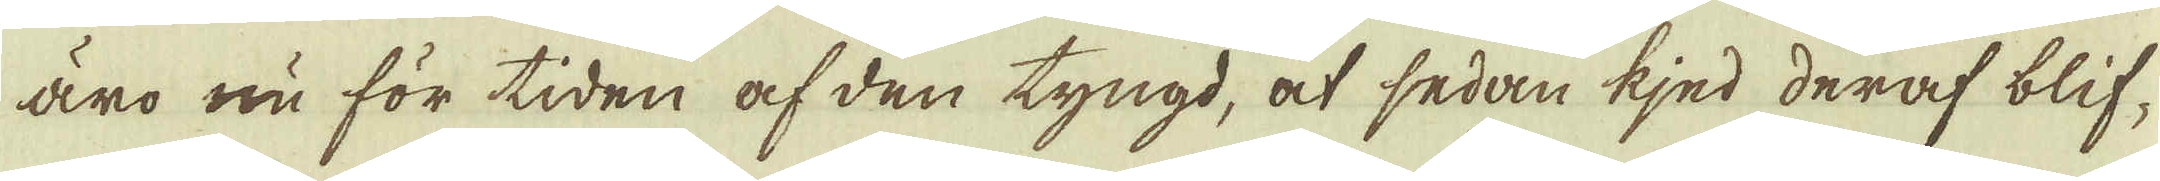äro nu för tiden af den tyngd, at sedan kjed deraf blif-
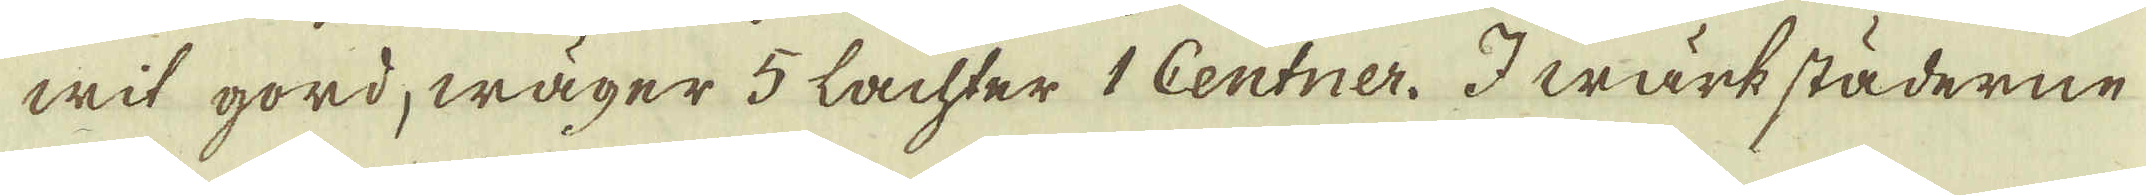wit gord, wäger 5 Lachter 1 Centner. I wärkstäderne
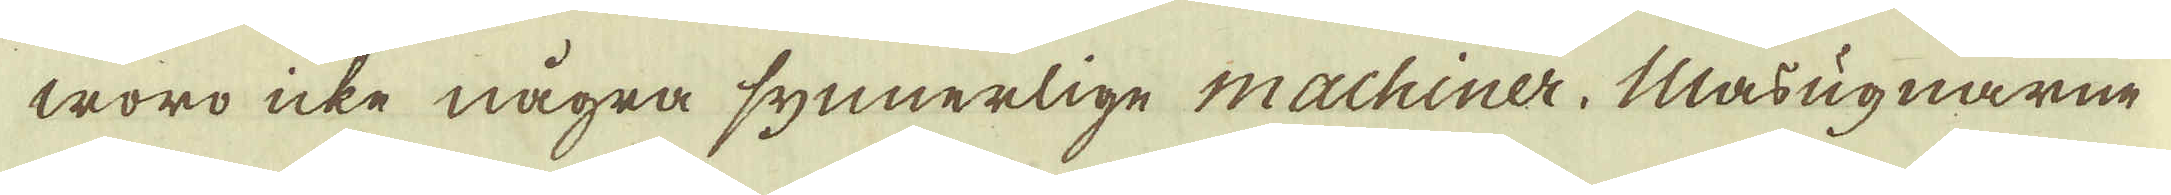woro icke några synnerlige machiner. Masugnarne
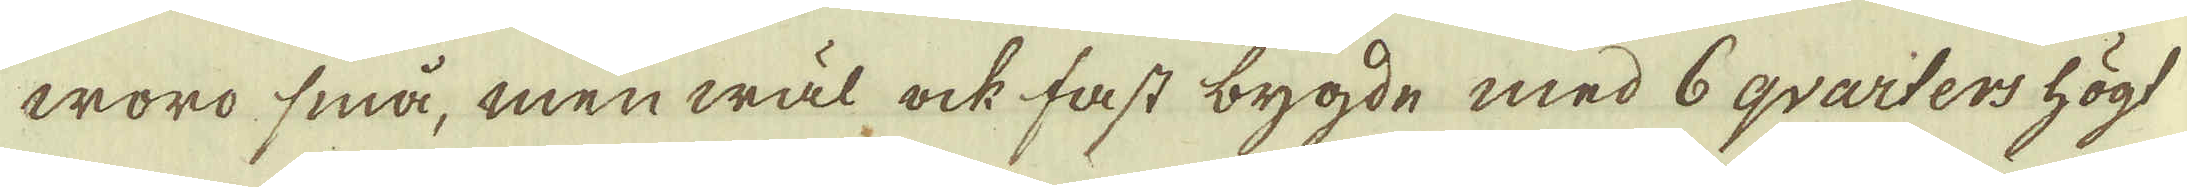woro små, men wäl ock fast bygde med 6 qvarters högt
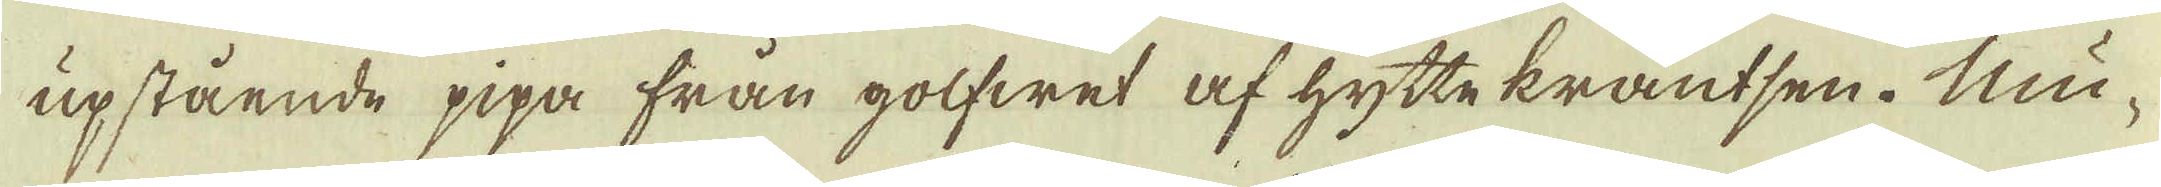upstående pipa från golfwet af hyttekrantsen. Mu-
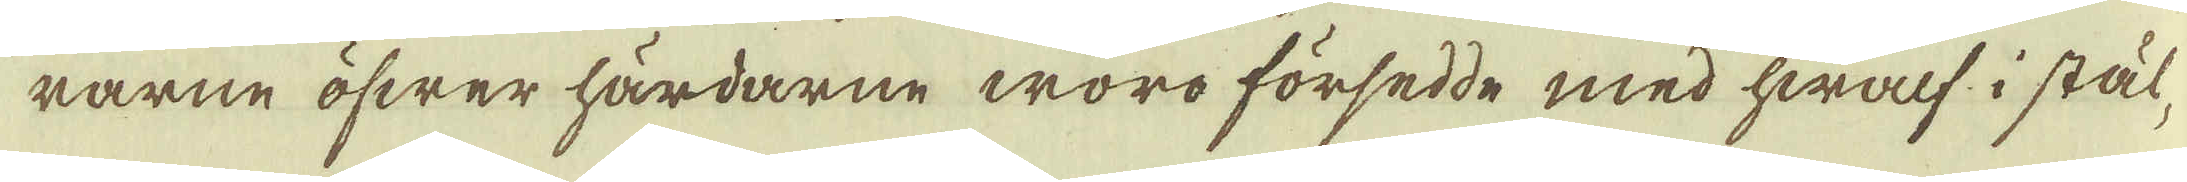rarne öfwer härdarne woro försedde med hwalf i stål-
